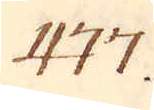477.
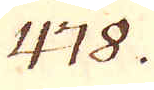478.
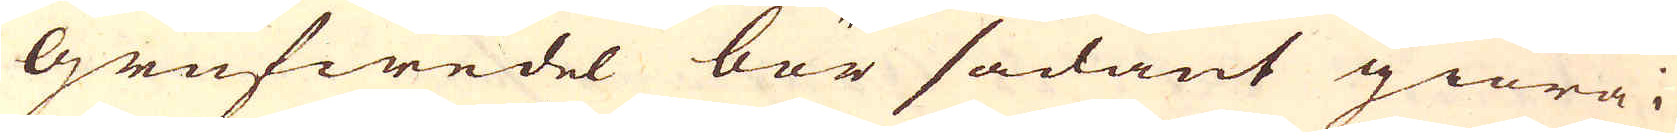Grufwedel bör sådant giöra i
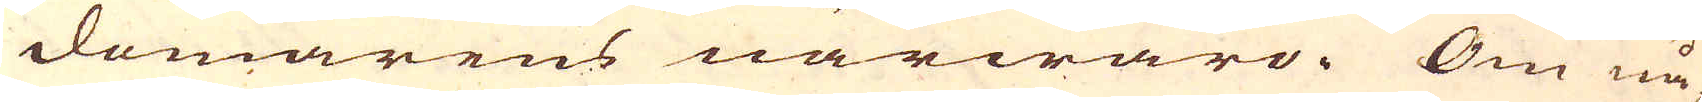domarens närwaro. Om nå-
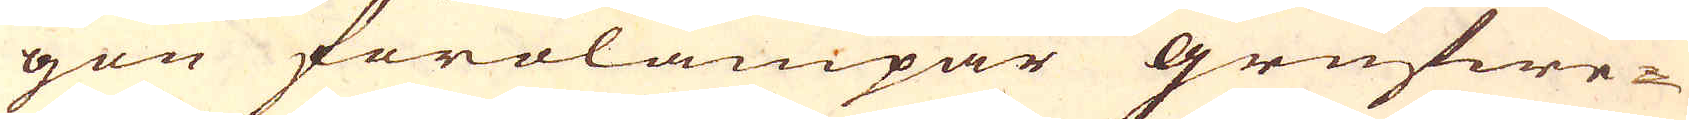gon förolämpar grufwe-
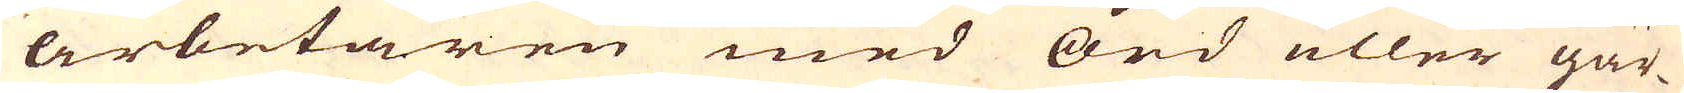arbetaren med ord eller gär-
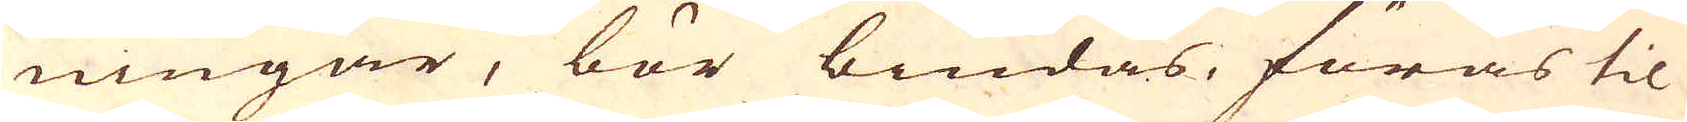ningar, bör bindas, föras til
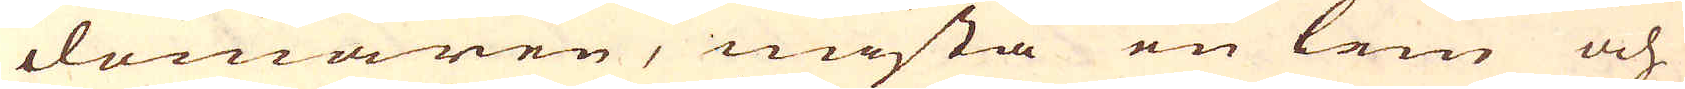domaren, mista en lem och
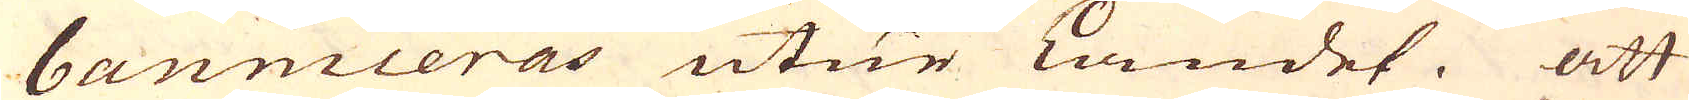banniceras utur Landet. Att
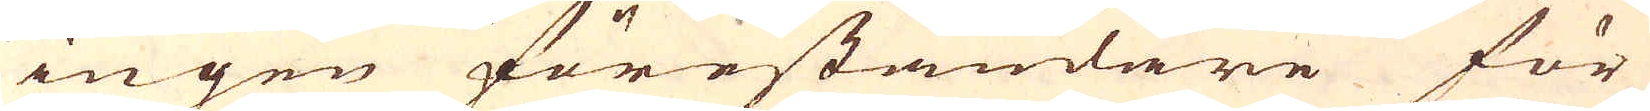ingen föreståndare för
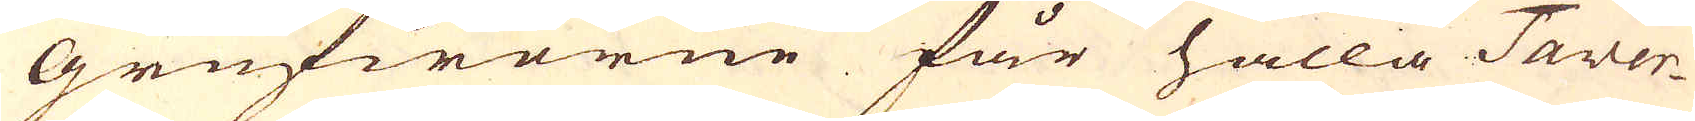Grufworne får hålla Taver-
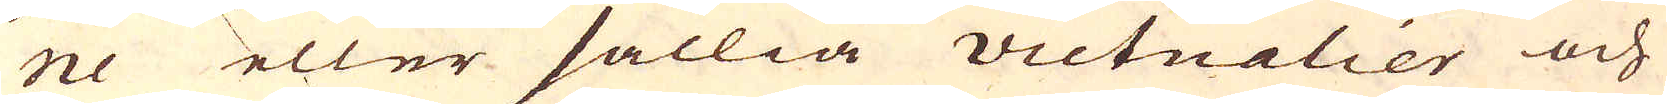ne eller sällia victualier och
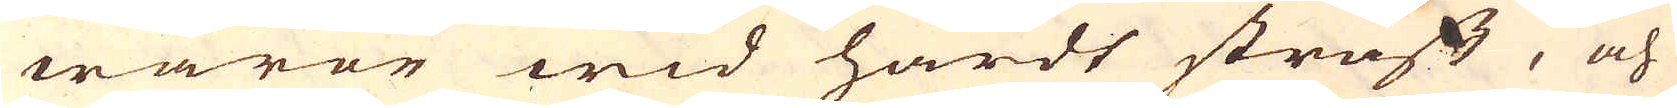waror wid hårdt straff, och
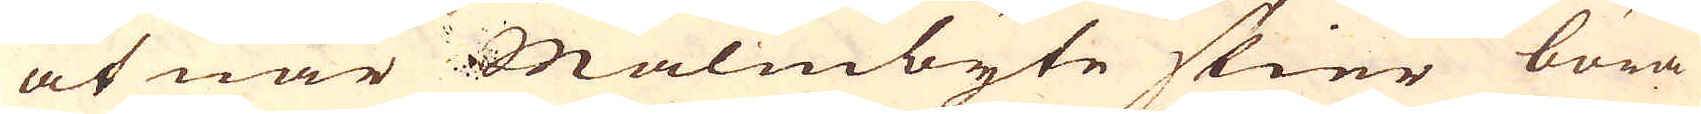at när Malmbyte skier böra
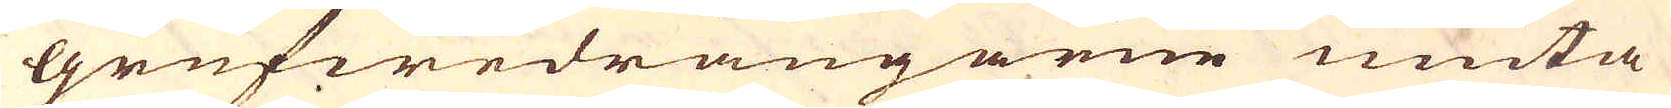Grufwedrängarne niuta
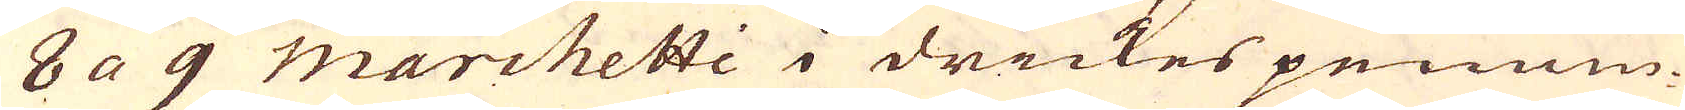8 a 9 Marchetti i drickes pennin-
